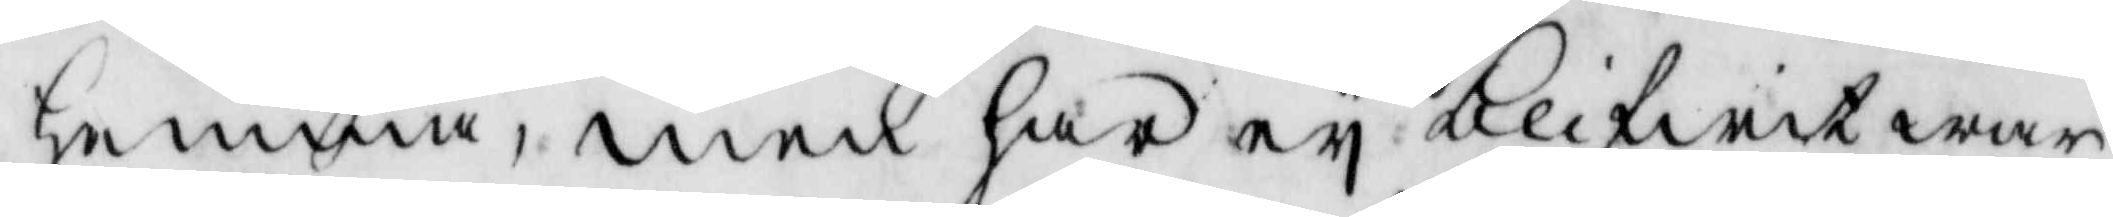hemma, men har ey blifwit war¬
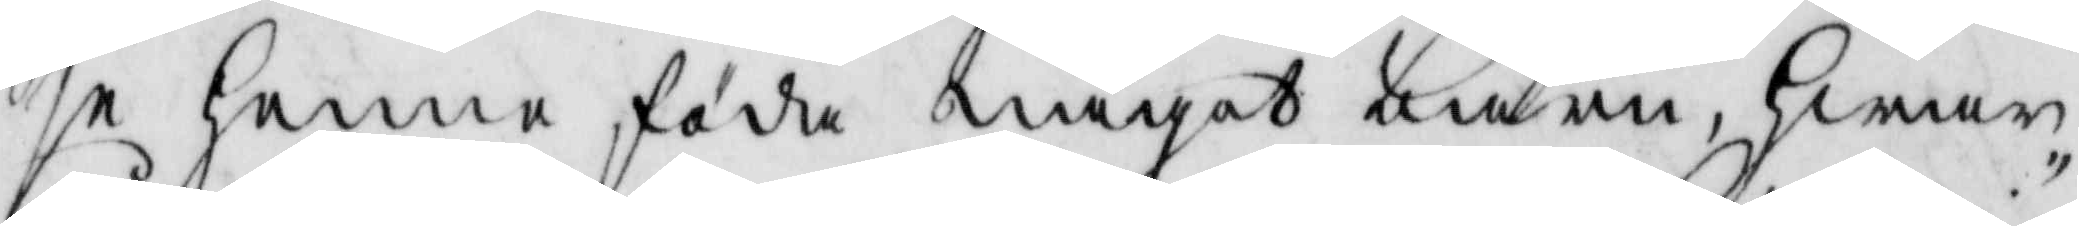se henne föda något barn, hwar¬
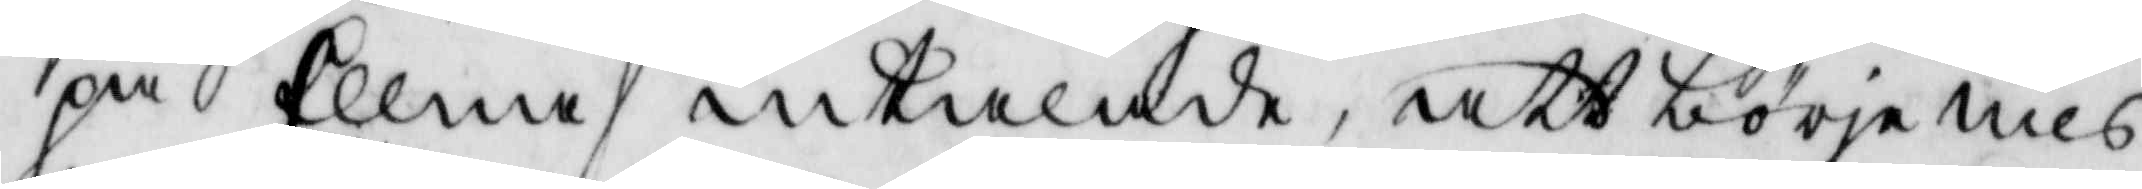på Ellna intalade, att att börje nils¬
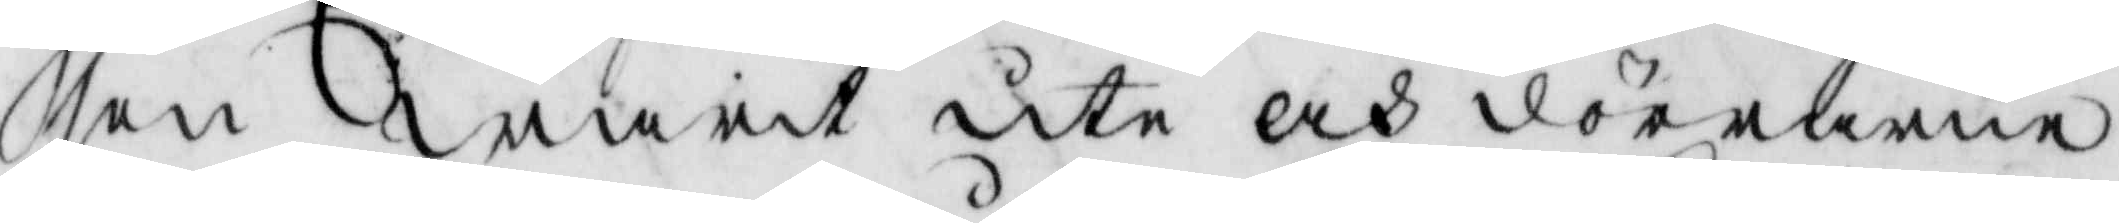son warit ute och dörrarne
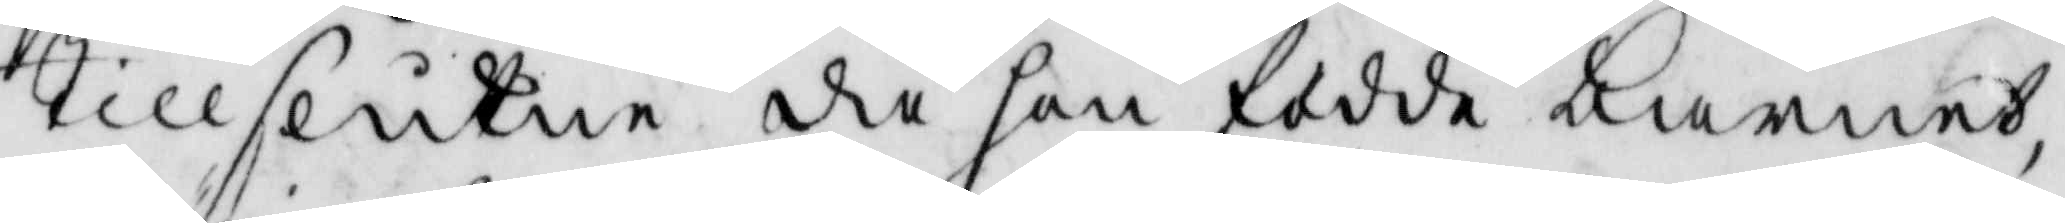tillslutne då hon födde barnet,
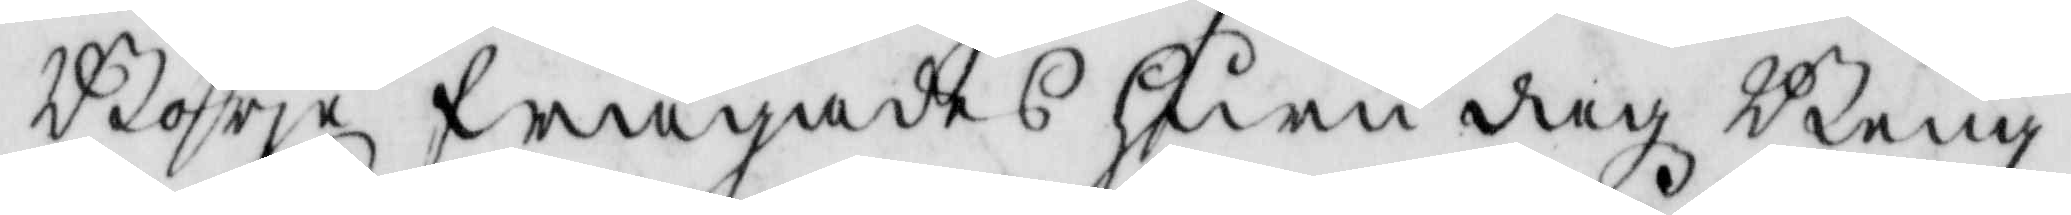Börje frågades huru dagz Beng¬
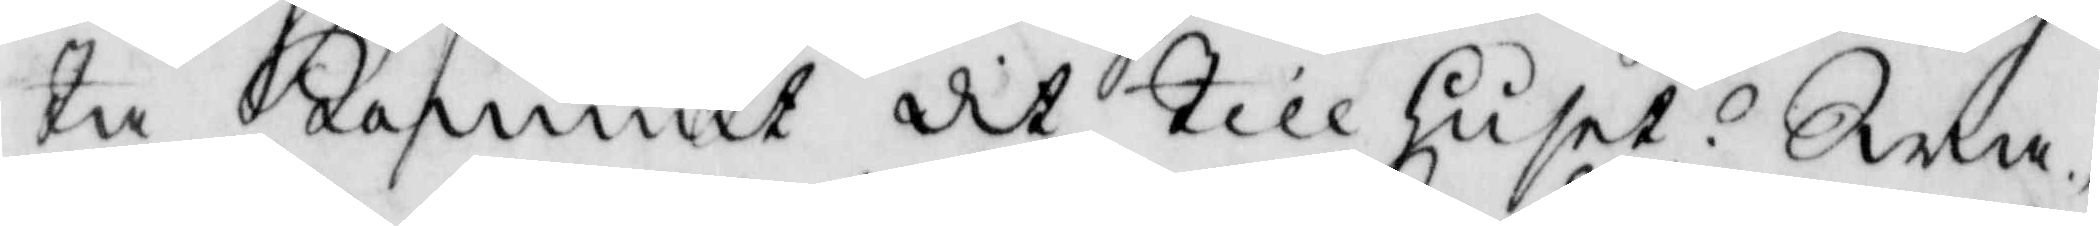ta kommit dit till huset. Swa¬
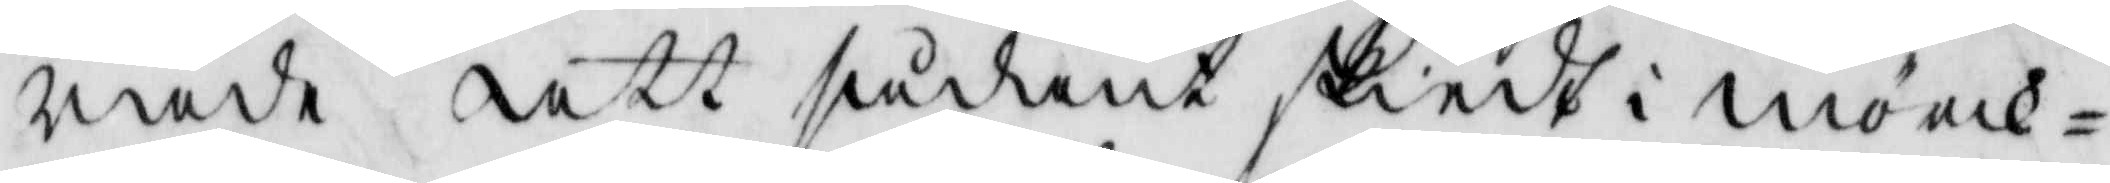rade att sådant skiedt i mörk¬
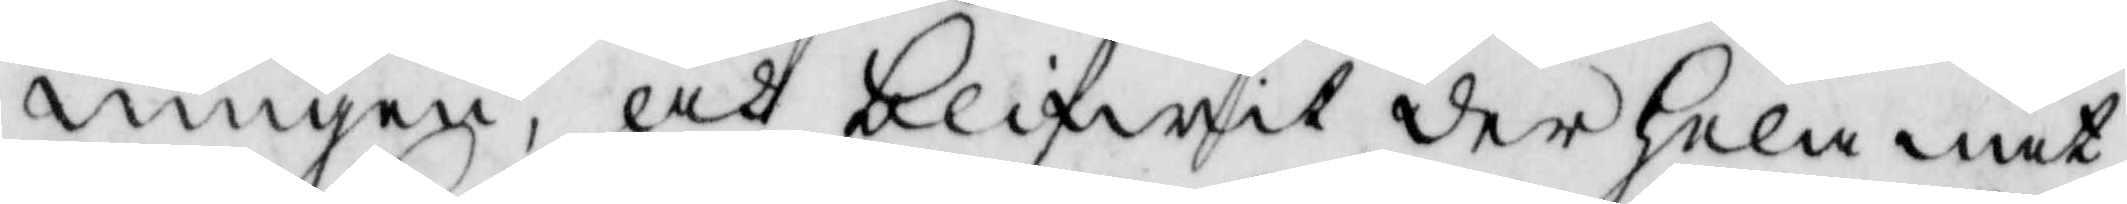ningen, och blifwit der hela nat¬
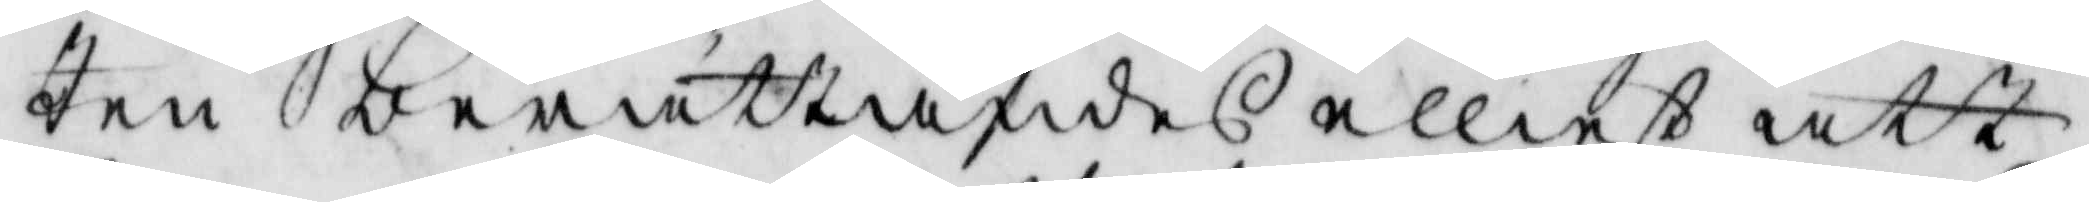ten berättandes elliest att
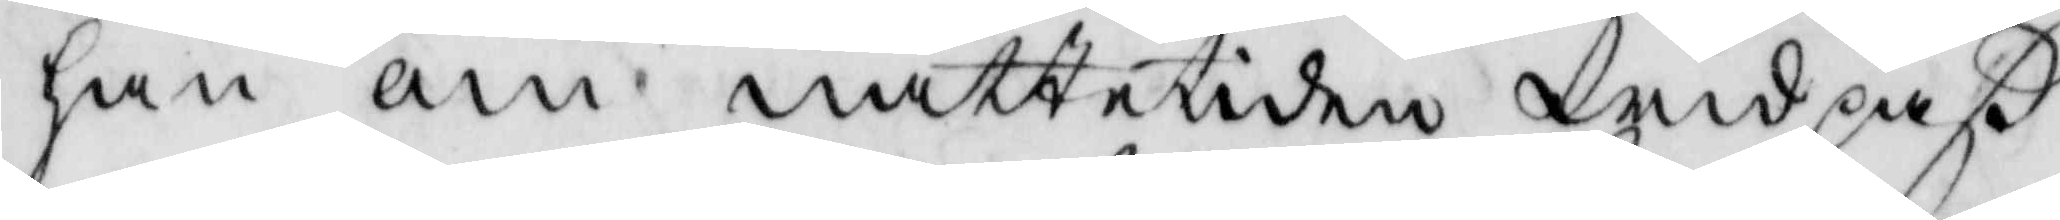han om nattetiden wid paß
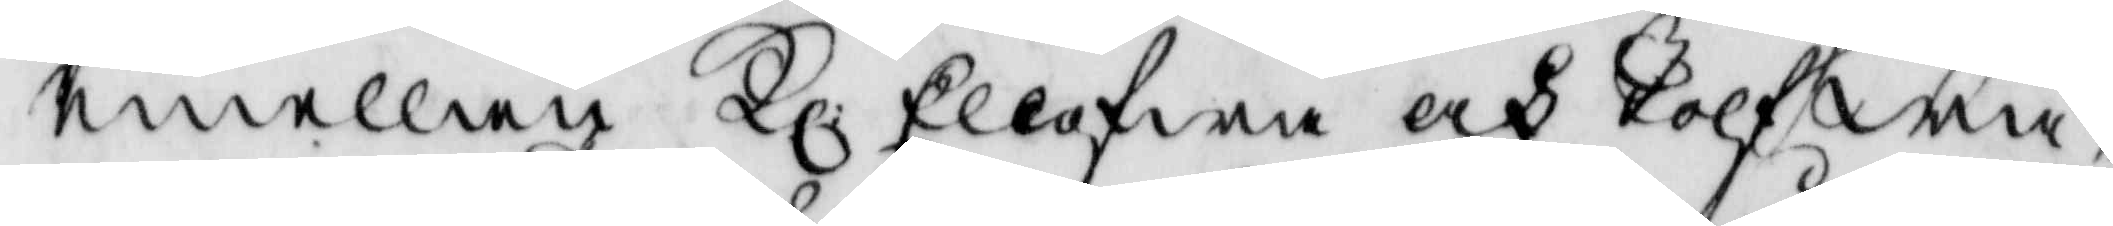emellan Kl: Ellfwa och Tolf wa¬
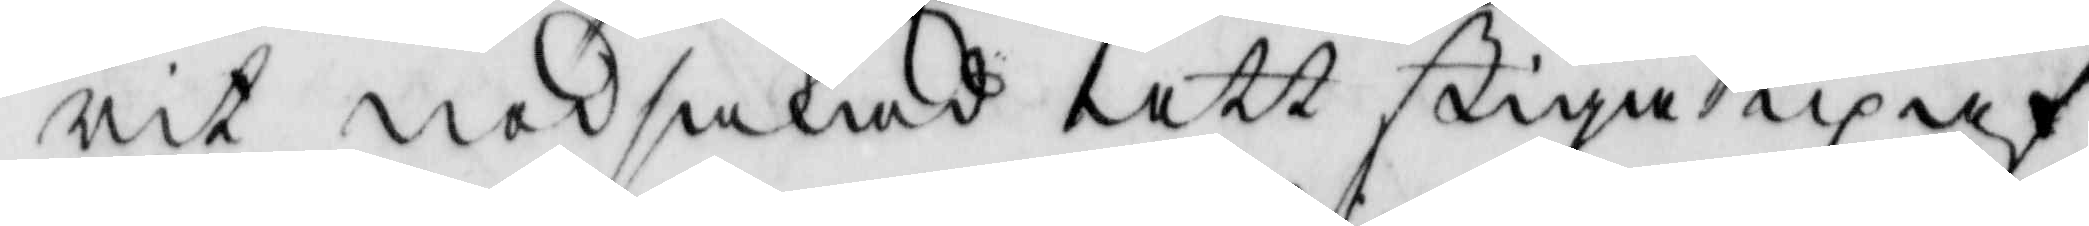rit nödsakad att stiga up af
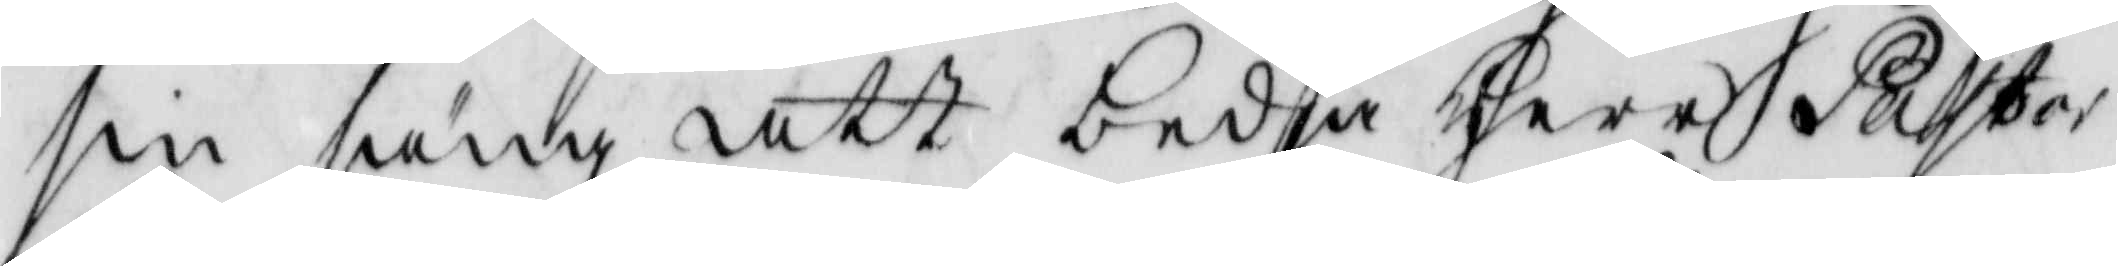sin säng att bedja Herr Pastor
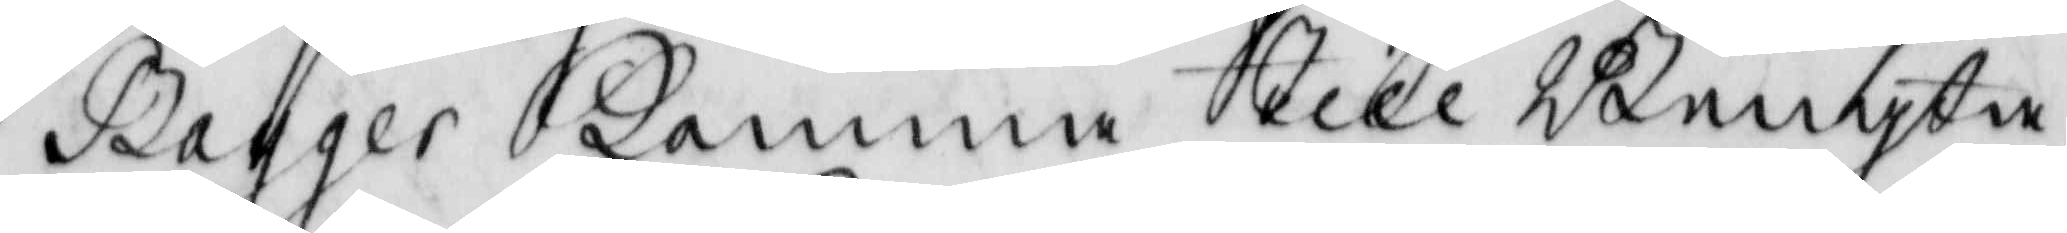Bagger komma till Bengta
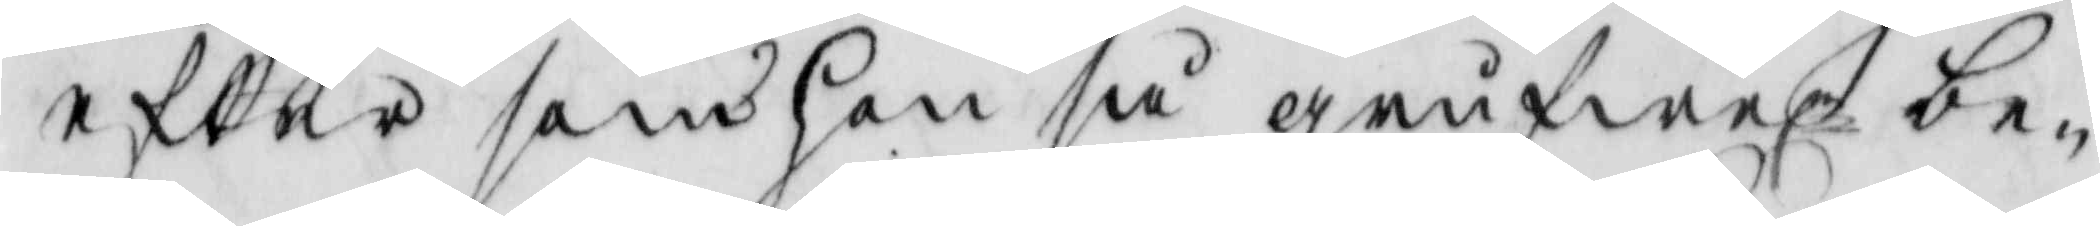efter son hon då grufwerl. be¬
